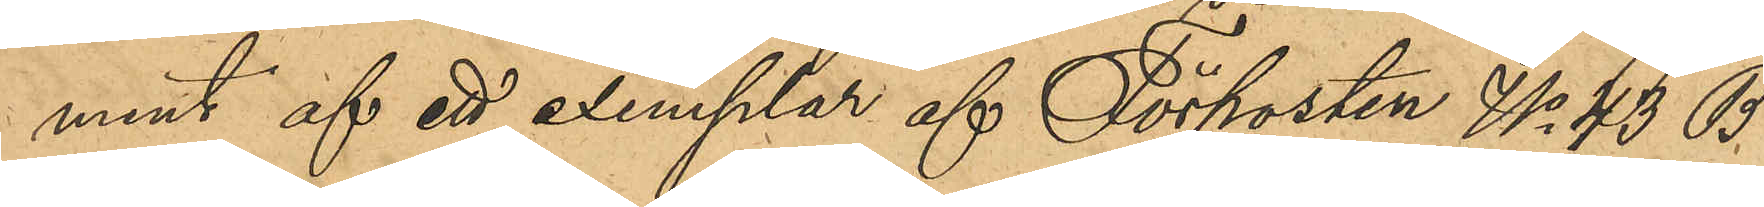ment af ett exemplar af Förposten No 43 B
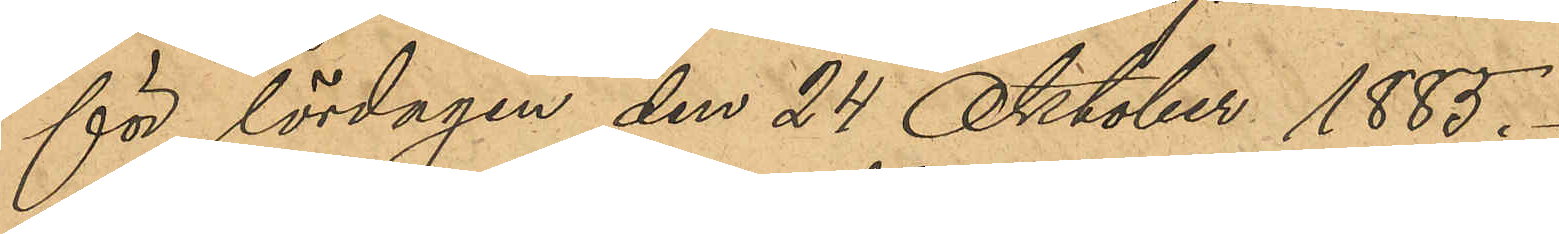för lördagen den 24 Oktober 1885.
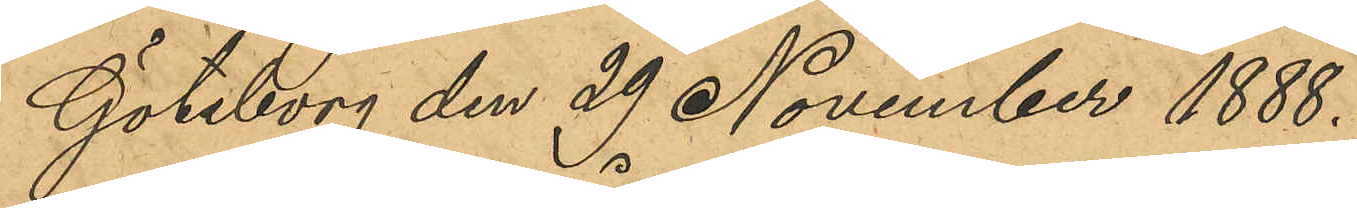Göteborg den 29 November 1888.
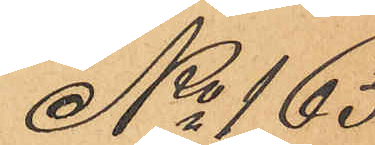No 165
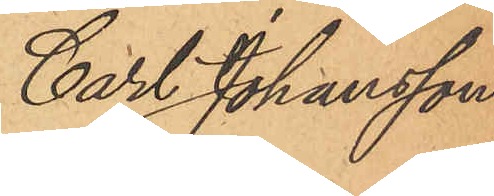Carl Johansson
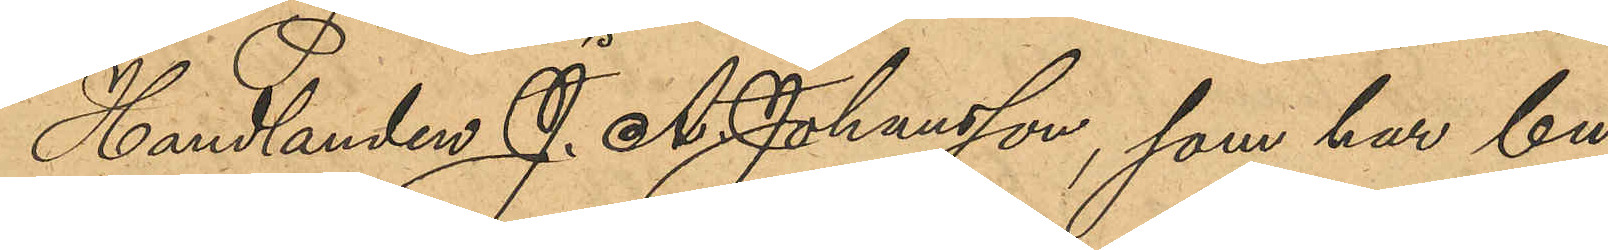Handlanden J. A. Johansson, som har bu¬
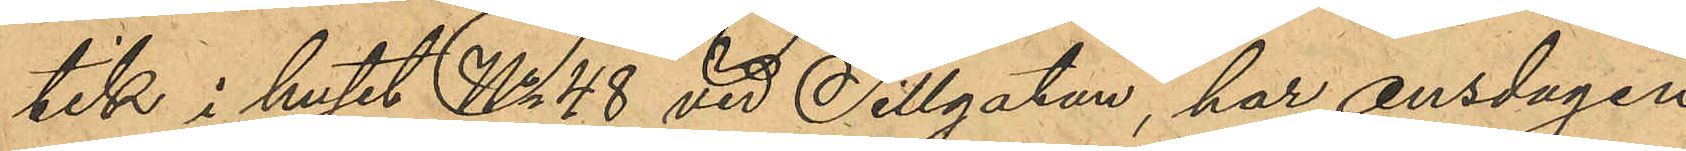tik i huset No 48 vid Sillgatan, har onsdagen
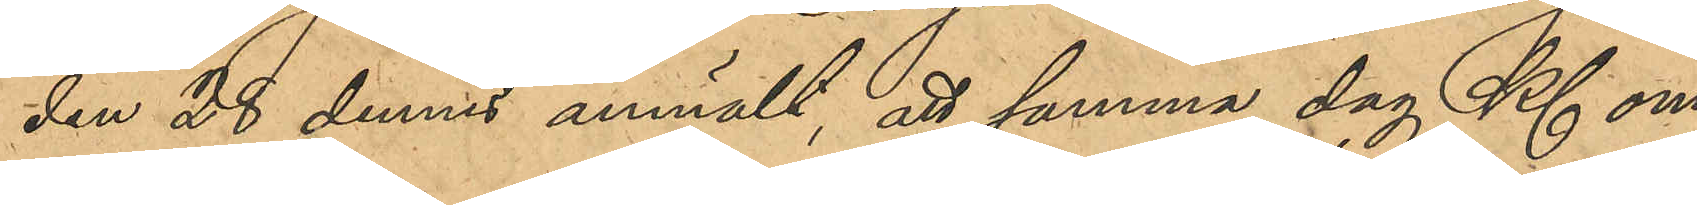den 28 dennes anmält, att samma dag Kl om¬
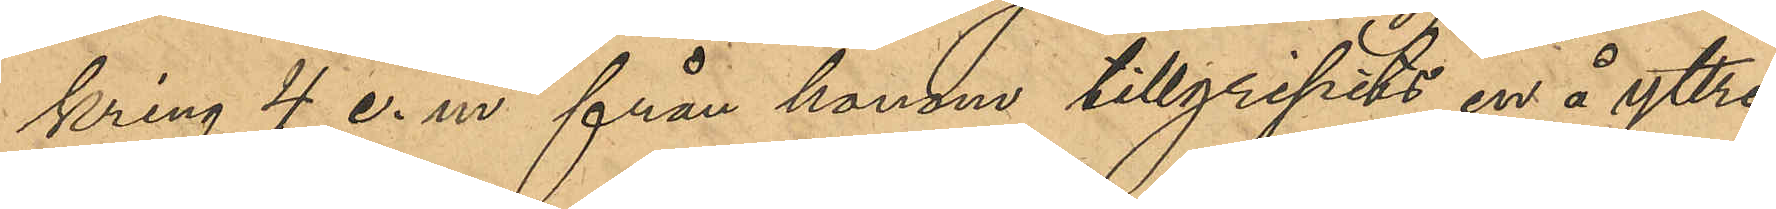kring 4 e.m. från honom tillgripits en å yttre
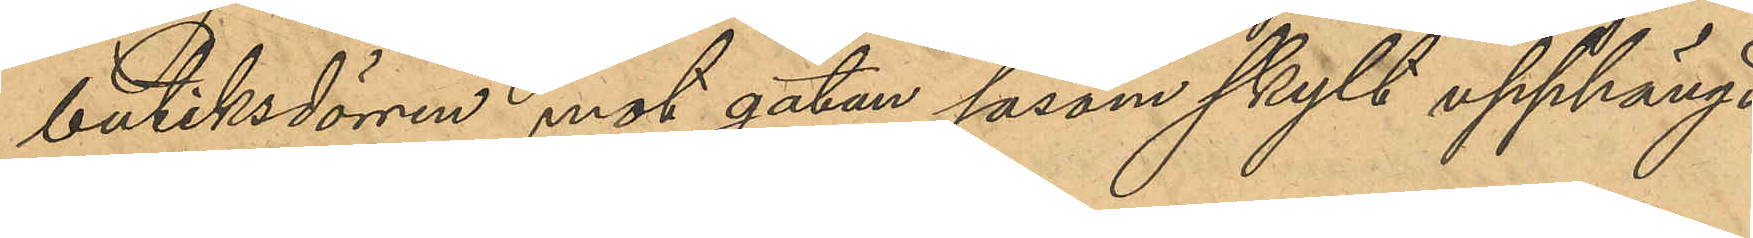butiksdörren mot gatan såsom skylt upphängd
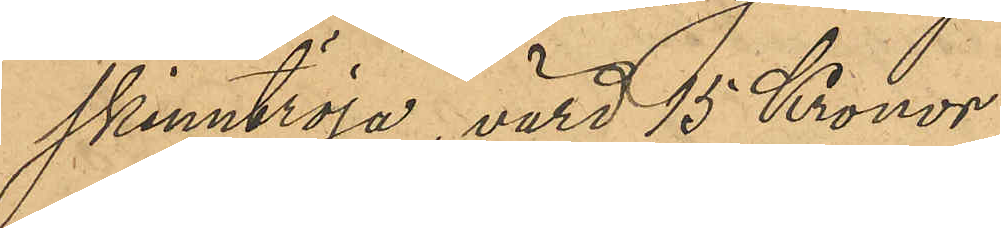skinntröja, värd 15 Kronor.
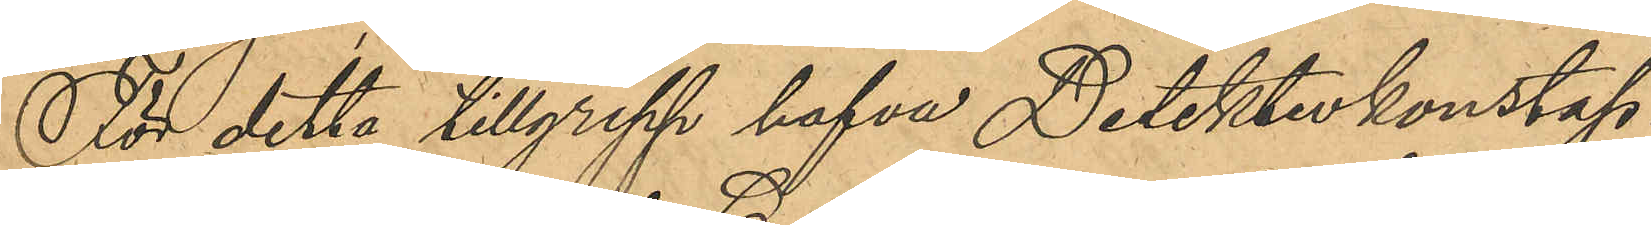För detta tillgrepp hafva Detektivkonstap¬
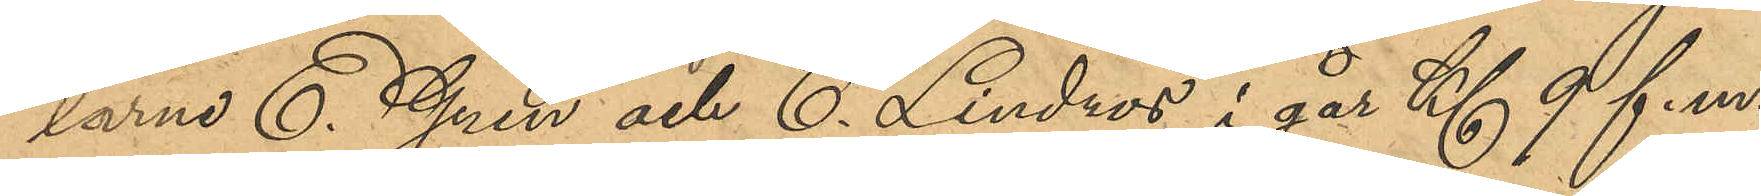larne E. Gren och C. Lindros i går Kl 9 f.m.
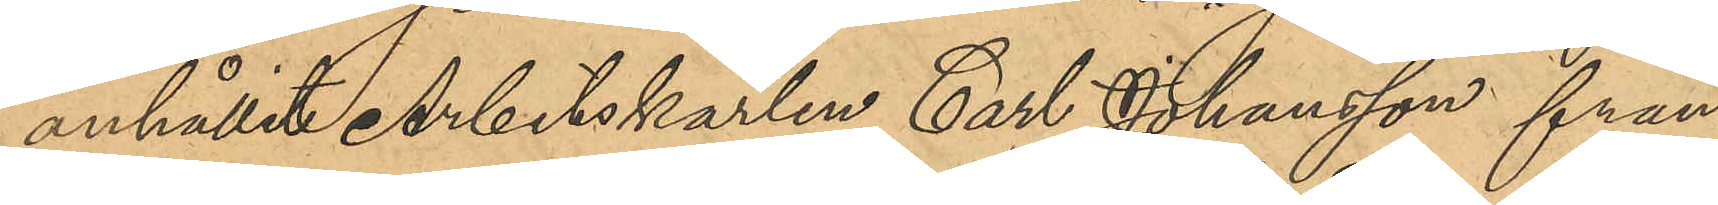anhållit Arbetskarlen Carl Johansson från
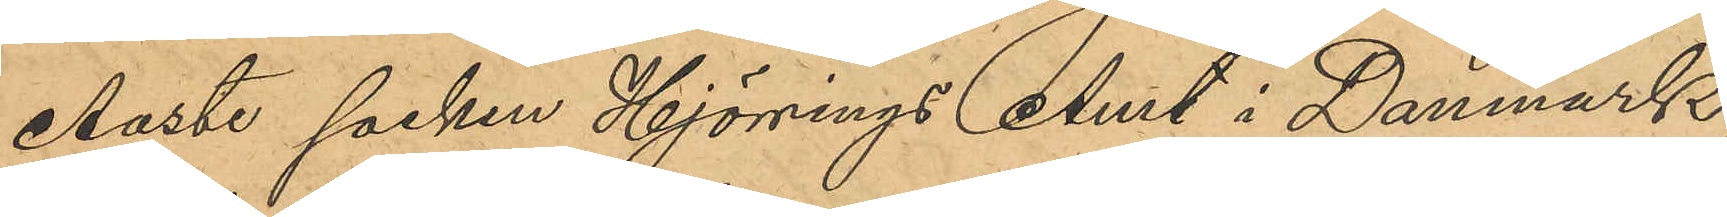Aaste socken Hjörnings Amt i Danmark,
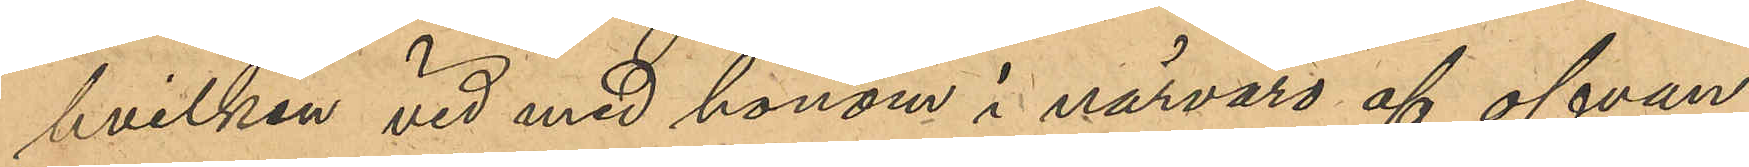hvilken vid med honom i närvaro af ofvan¬
